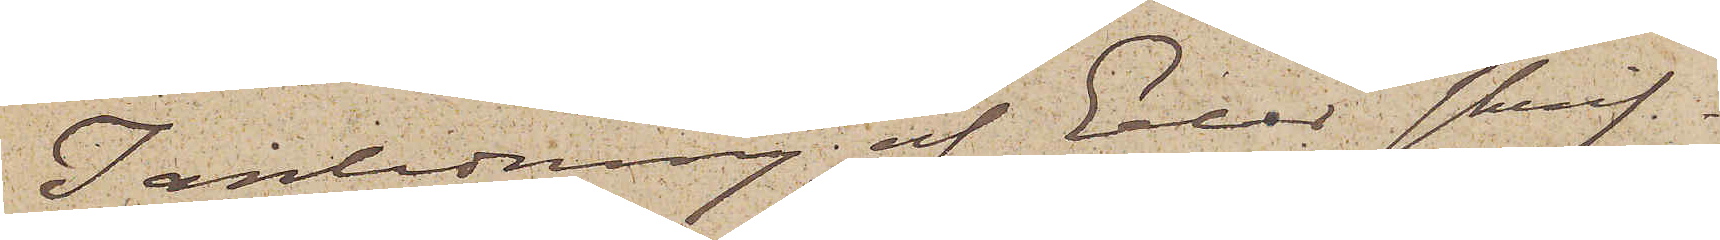I anledning af Eder skrif¬
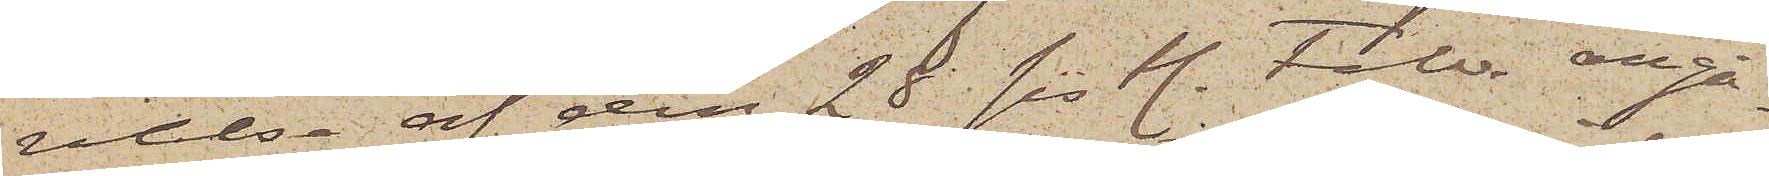velse af den 28 sistl. Febr. angå¬
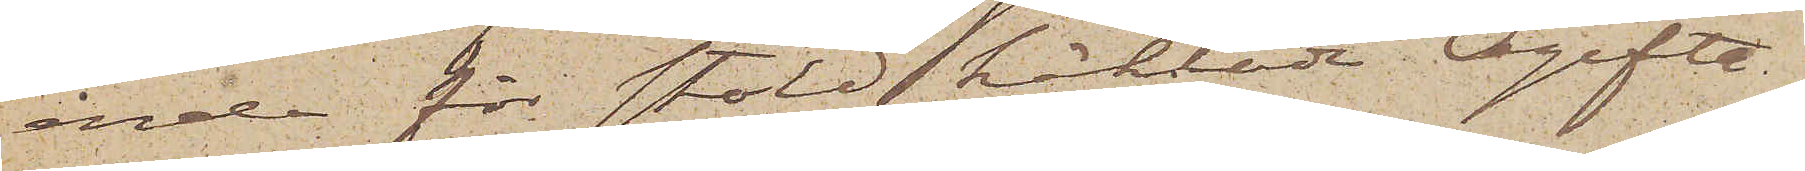ende för stöld häktade Ogifta
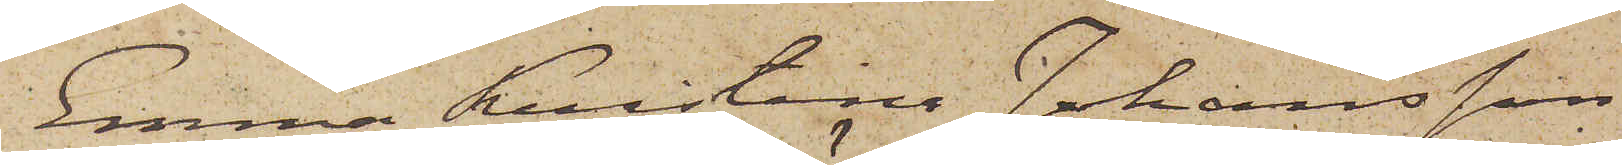Emma Kristina Johansson
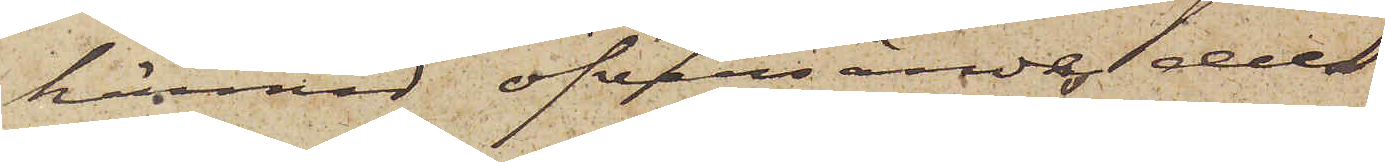härmed öfversändes dels
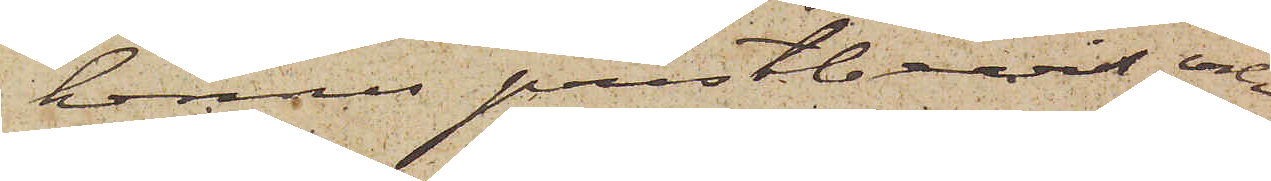hennes prestbevis och
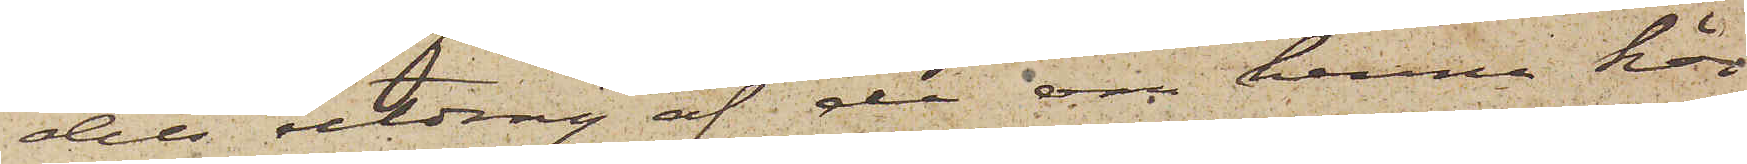dels utdrag af de om henne här
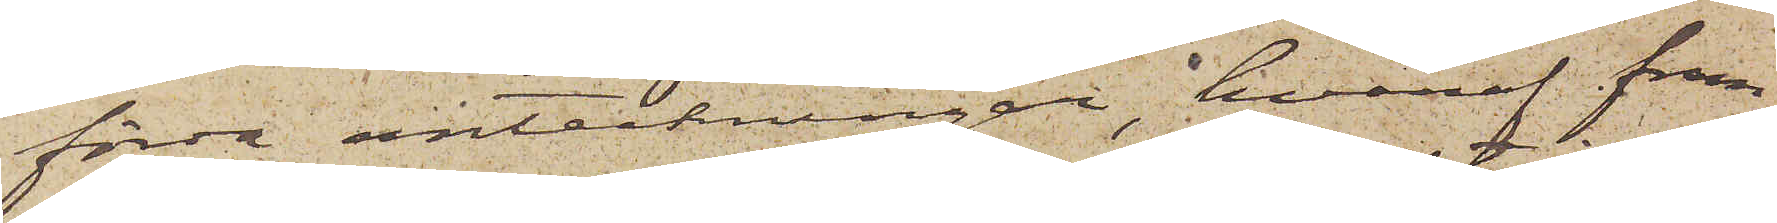förda anteckningar, hvaraf fram¬
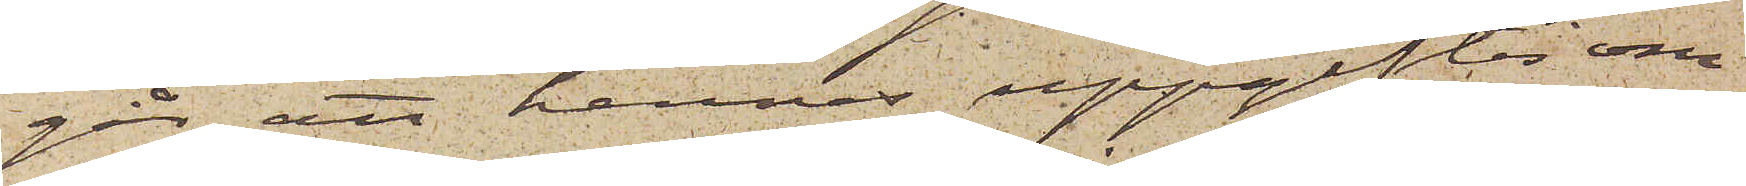går att hennes uppgifter om
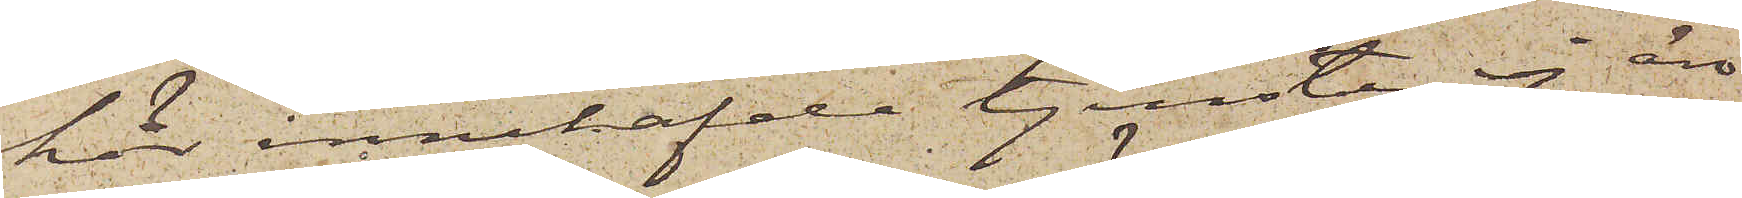här innehafde tjenster ej äro
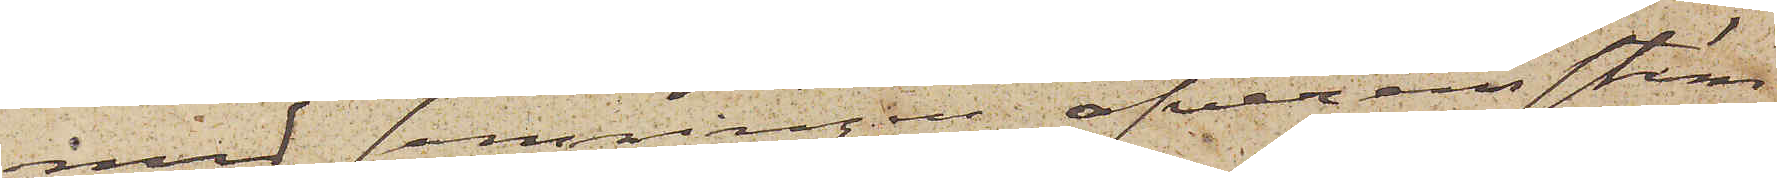med sanningen öfverensstäm¬
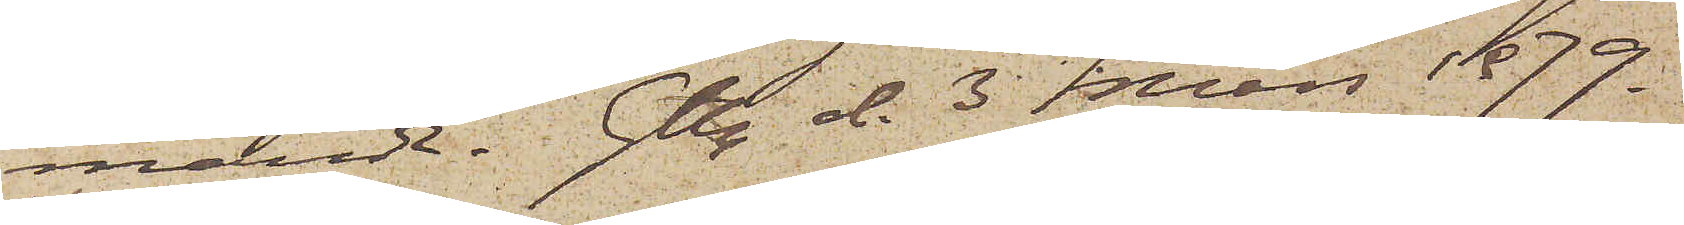mande. Gtbg d. 3 Mars 1879.
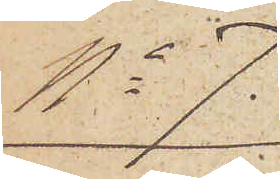No 7.
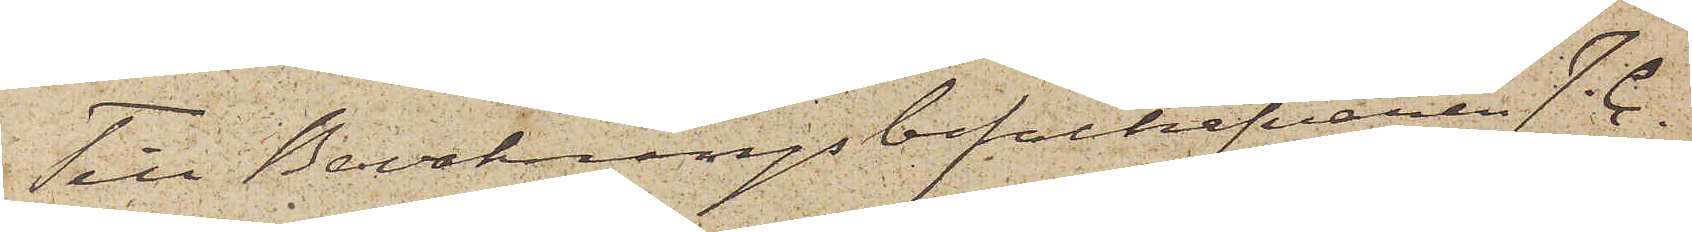Till Bevakningsbefälhafvaren J. C.
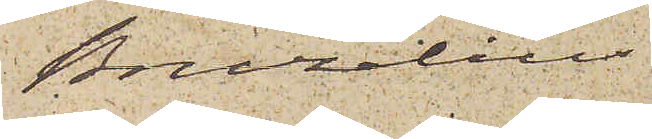Bruzelius
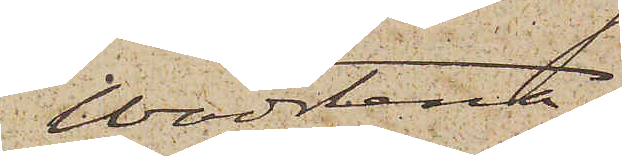Wadstena
